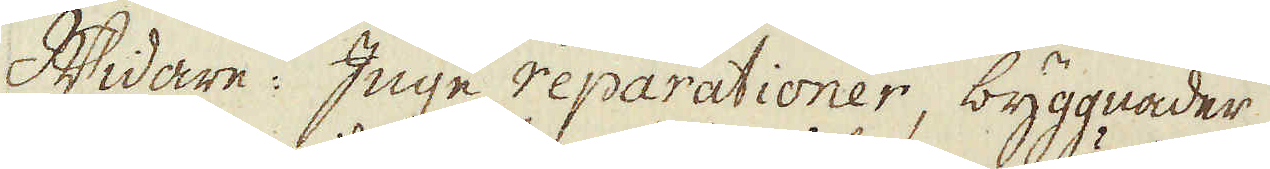Widare: Inge reparationer, byggnader
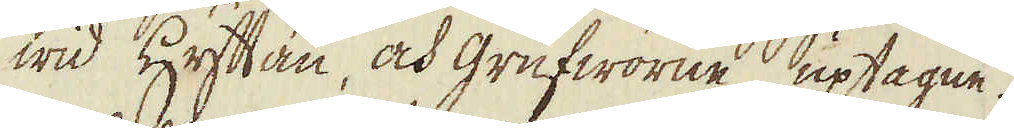wid Hyttan, och grufworne uptagne.
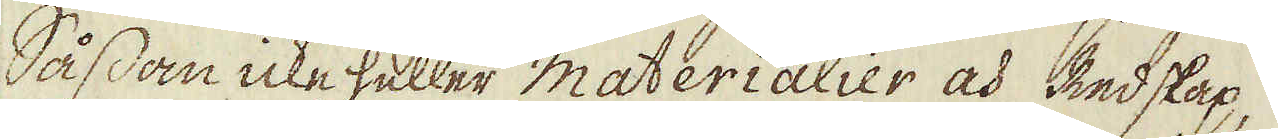Såssan icke heller materialier och Redskap,
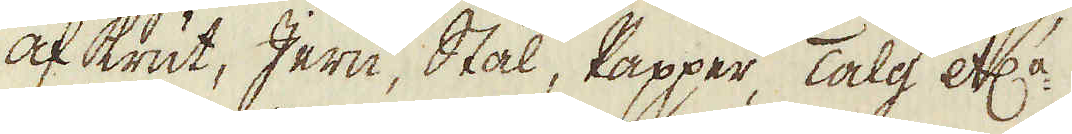af Krut, Jern, Stål, Papper, Talg etc:a.
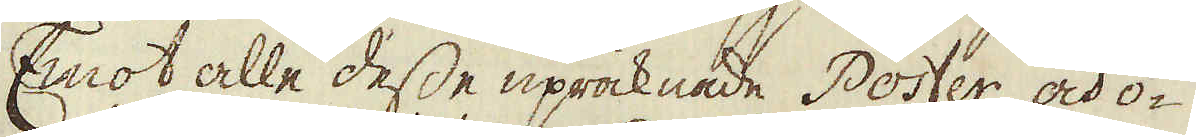Emot alle desse upräknade Poster och o-
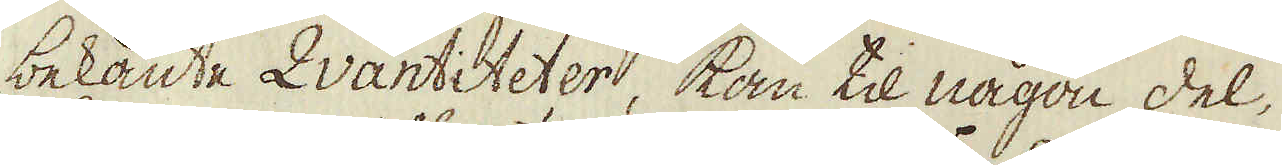bekante Qvantiteter, kan til någon del
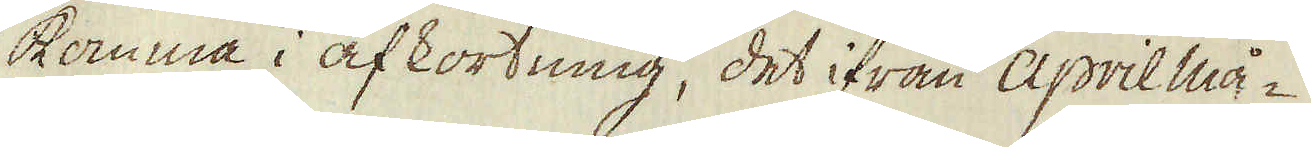komma i afkortning, det ifrån April må-
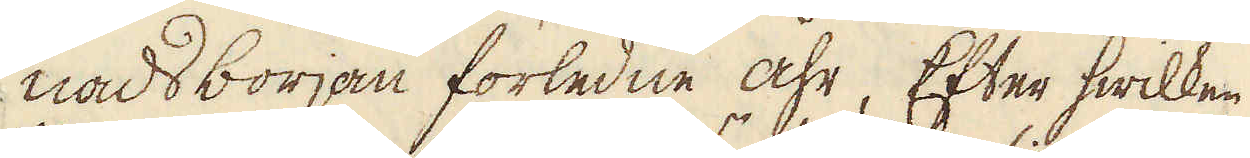nads början förledne åhr, Efter hwilken
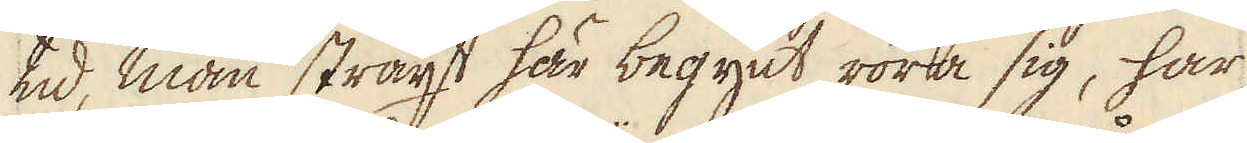tid, man straxt här begynt röra sig, har
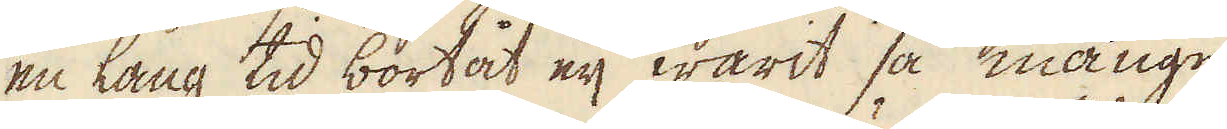en lång tid bortåt eij warit så månge
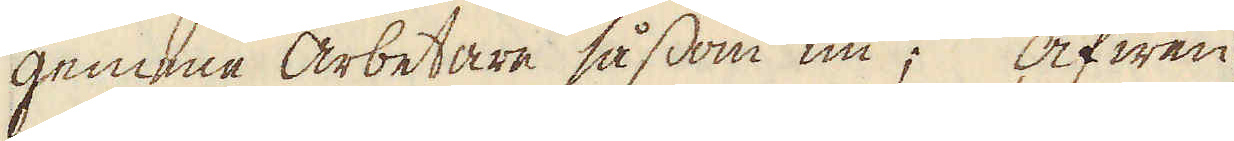gemnne arbetare såssom nu; Äfwen
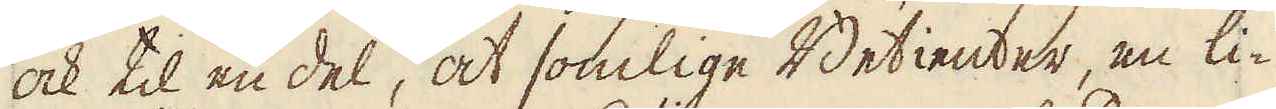ock til en del, at somlige Betienter, en li-
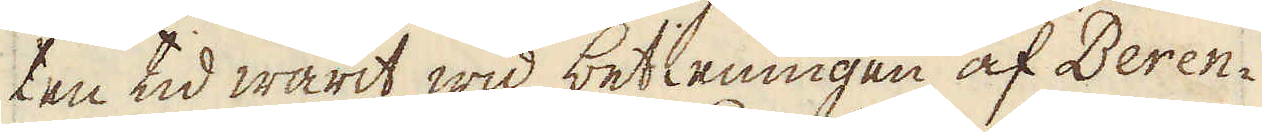ten tid warit wid betieningen af Beren-
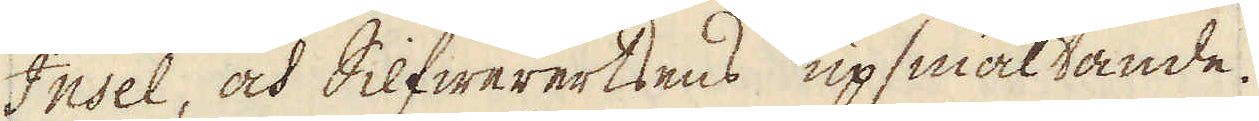Insel, och Silfwerertsens upsmältande.
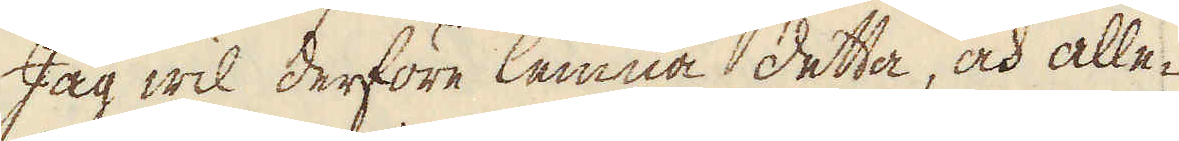Jag wil derföre lemna detta, och alle-
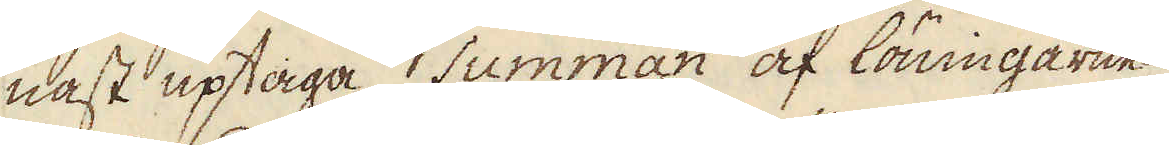nast uptaga Summan af löningarne
